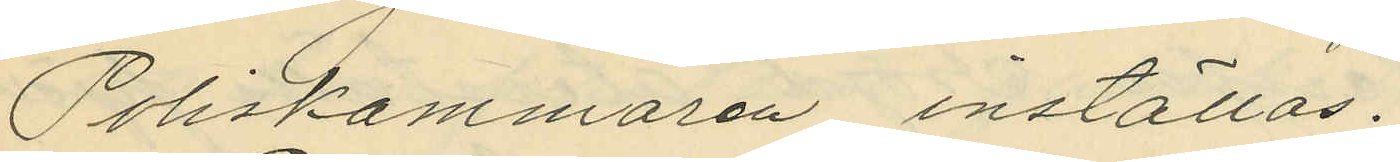Poliskammaren inställas.
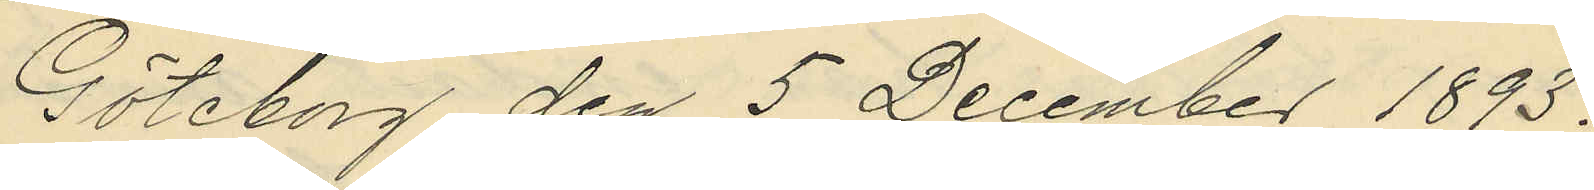Göteborg den 5 December 1893.
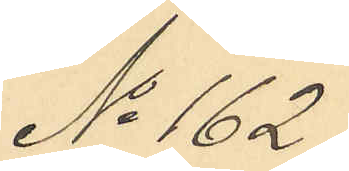No 162.
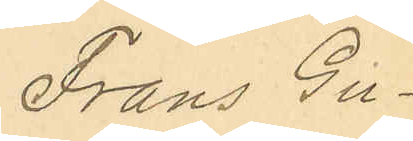Frans Gu¬
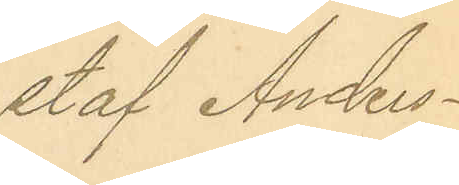staf Anders¬
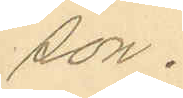son.
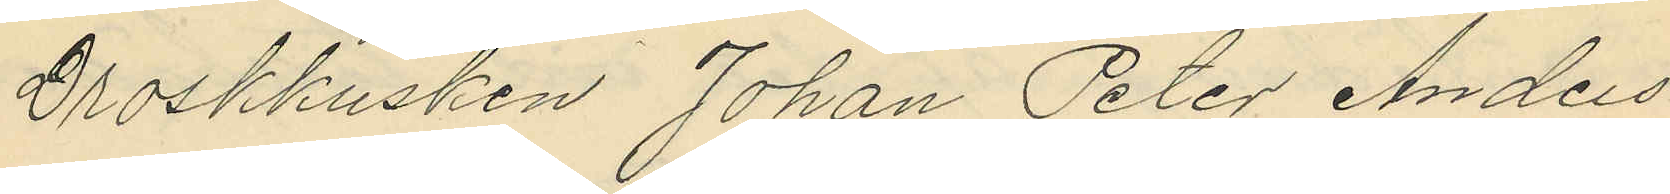Droskkusken Johan Peter Anders¬
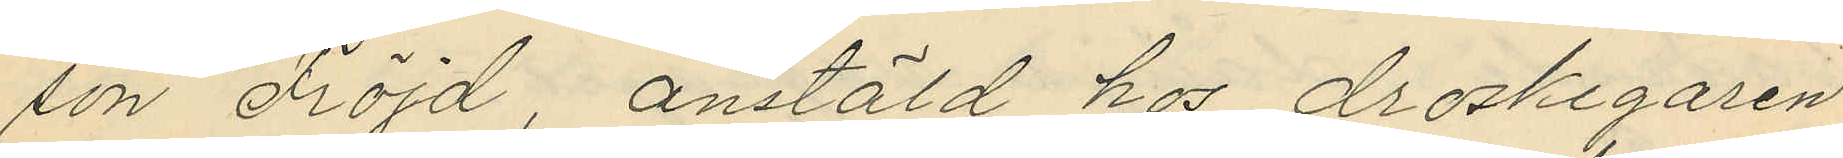son Fröjd, anstäld hos droskegaren
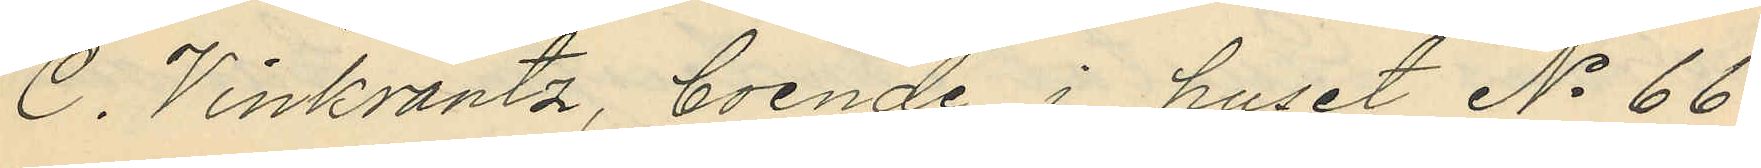C. Vinkrantz, boende i huset No 66
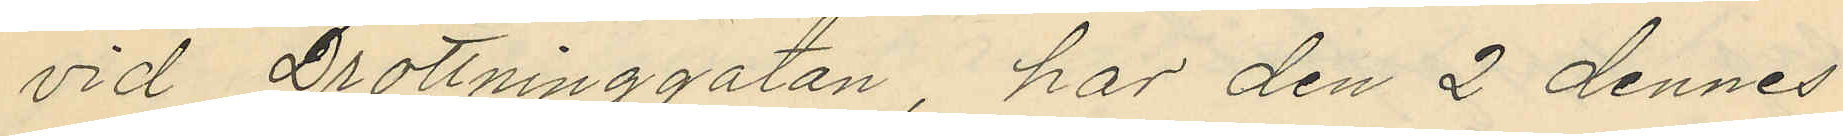vid Drottninggatan, har den 2 dennes
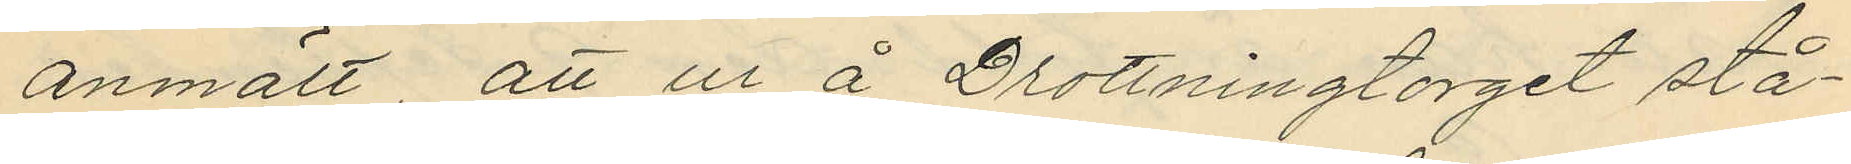anmält, att ur å Drottningtorget stå¬
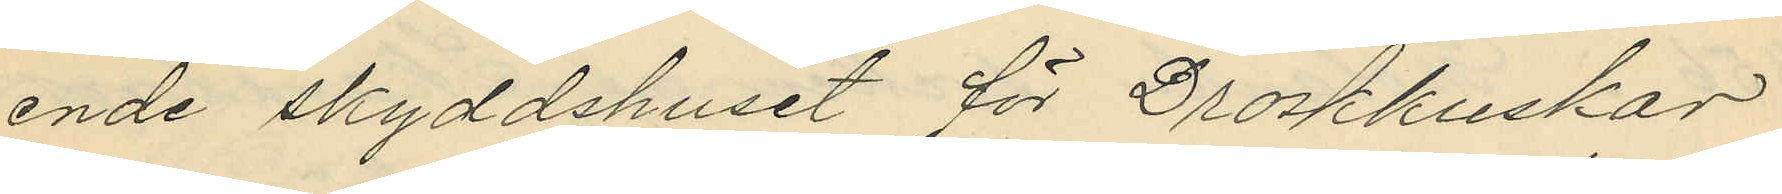ende skyddshuset för Droskkuskar
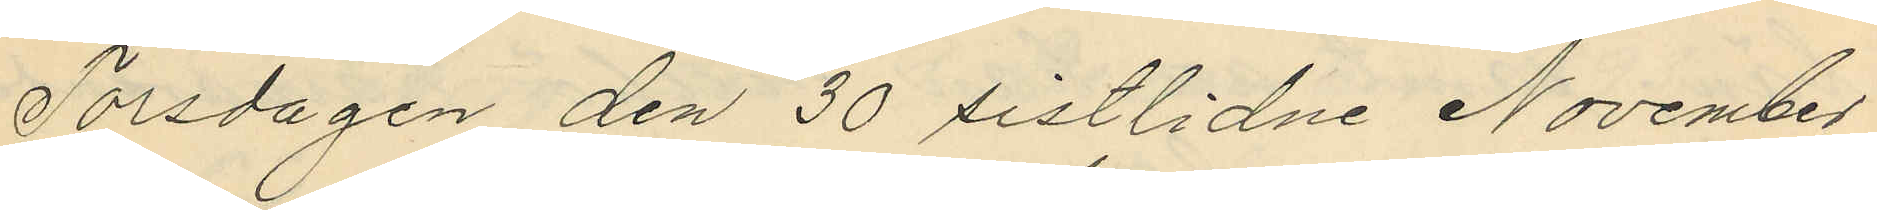Torsdagen den 30 sistlidne November
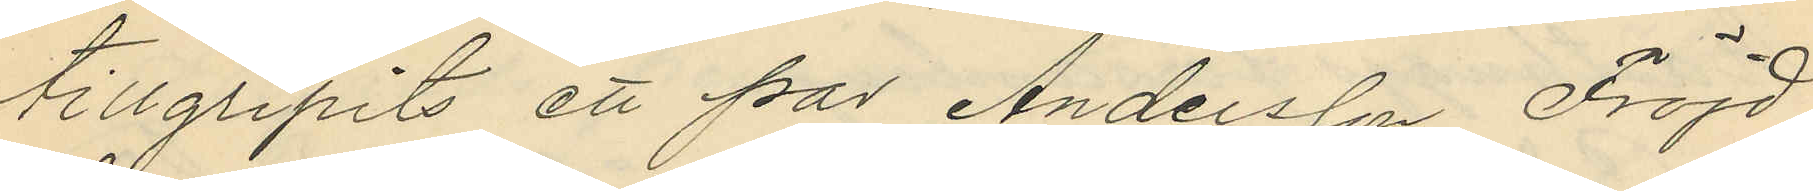tillgripits ett par Andersson Fröjd
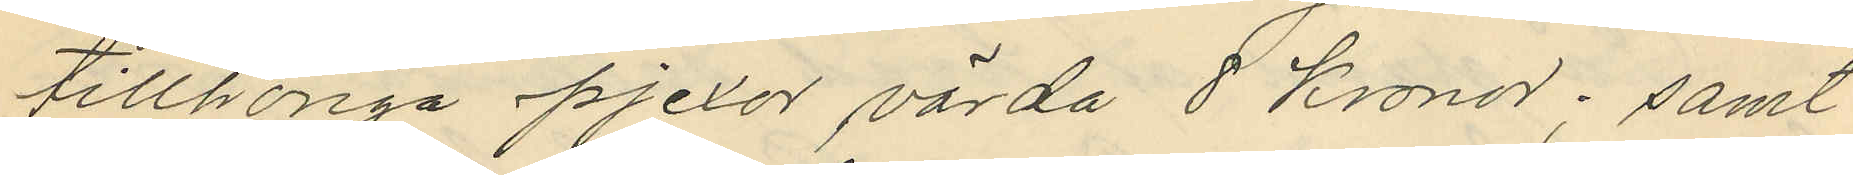tillhöriga pjexor värda 8 Kronor; samt
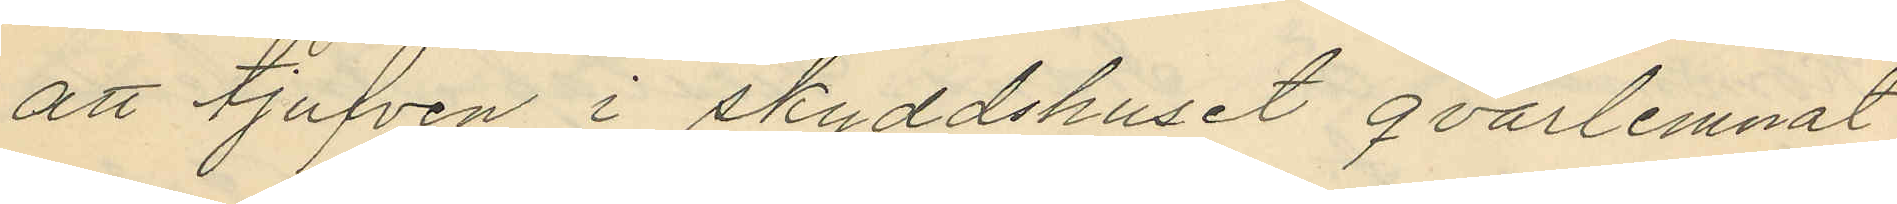att tjufven i skyddshuset qvarlemnat
